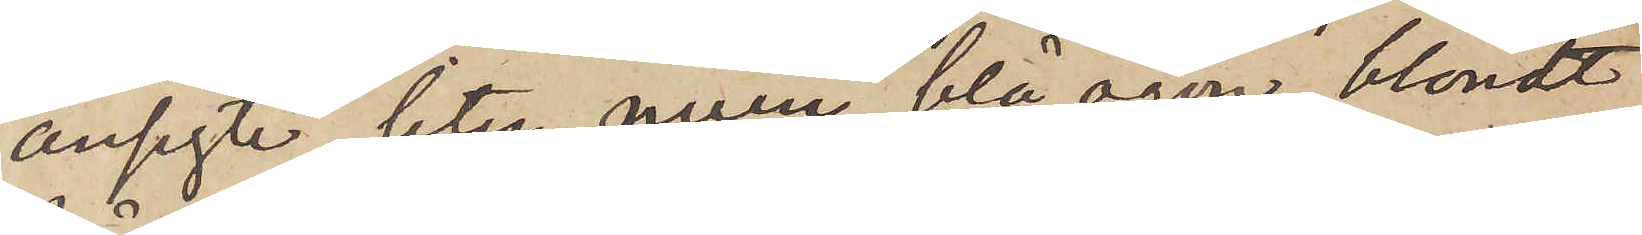ansigte, liten mun, blå ögon, blondt
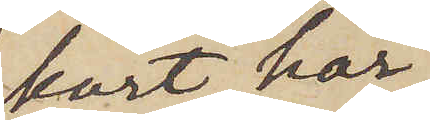kort hår
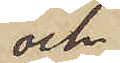och
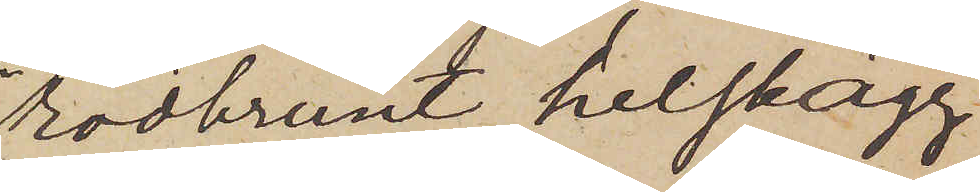rödbrunt helskägg
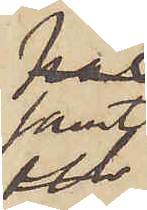samt
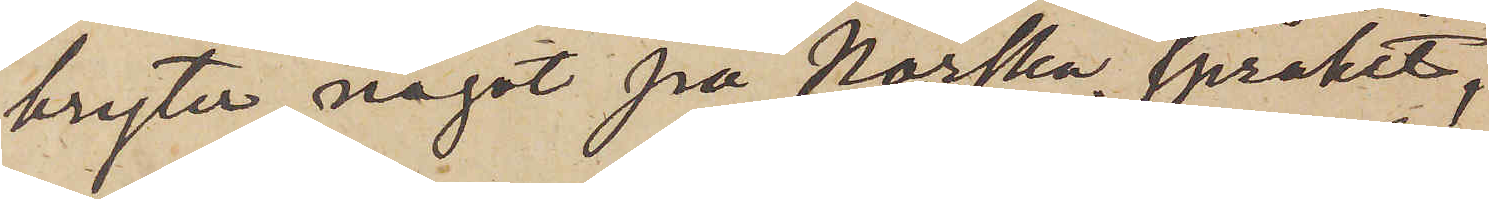bryter något på Norska språket,
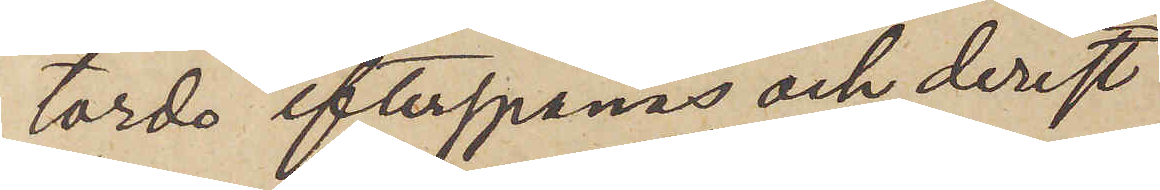torde efterspanas och, derest
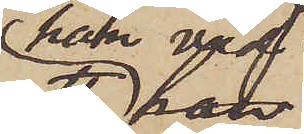han vid
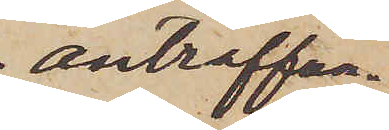anträffan¬
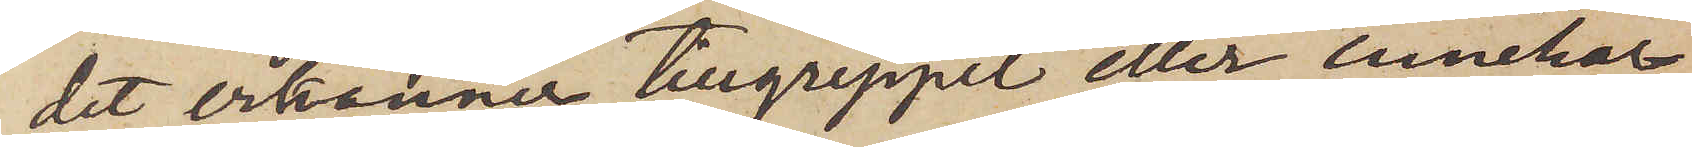det erkänner tillgreppet eller innehar
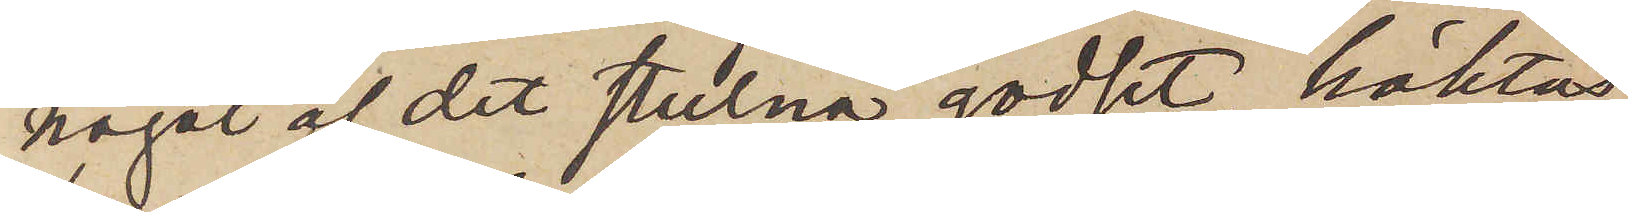något af det stulna godset, häktas
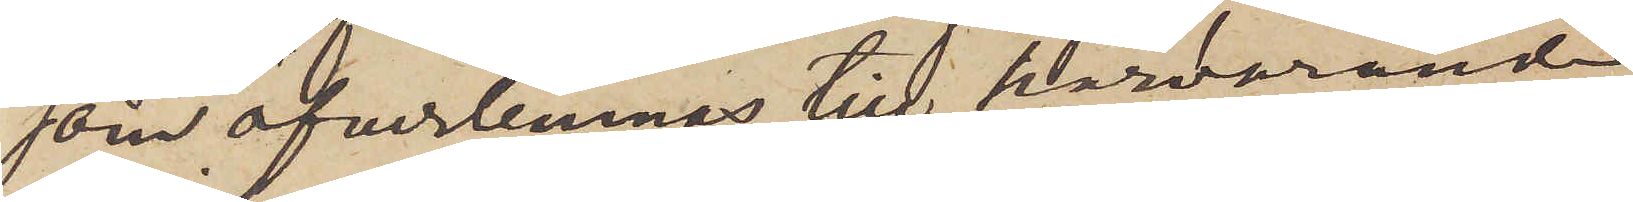som öfverlemnas till härvarande
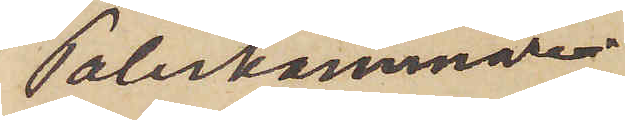Poliskammare.
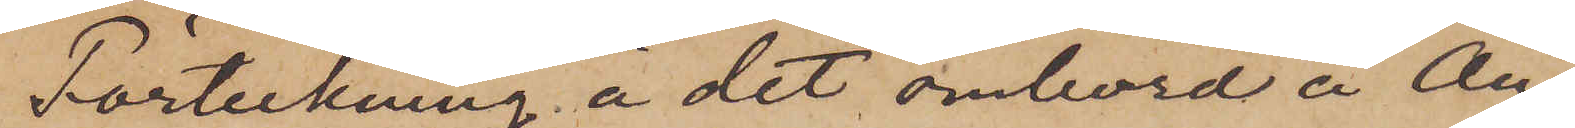Förteckning å det ombord å Ång¬
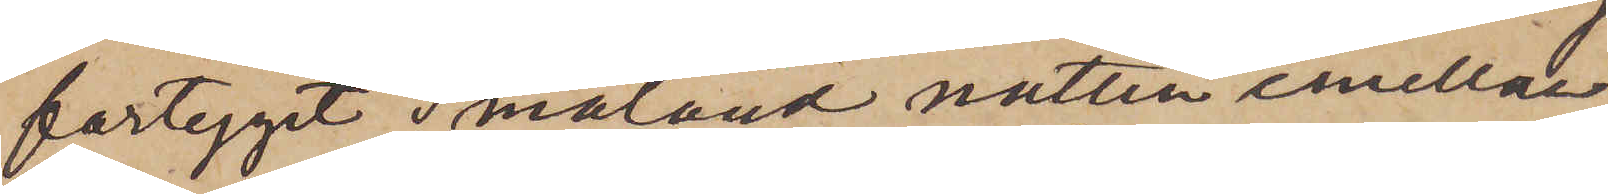fartyget i Småland natten emellan
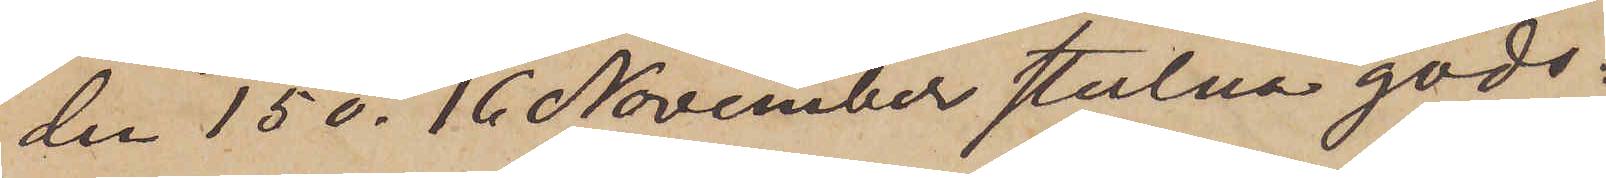den 15 o. 16 November stulna gods:
